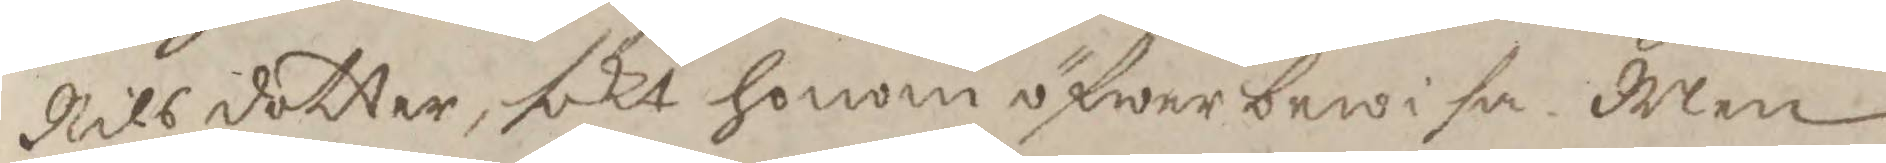Nilsdotter, sökt honom öfwerbewisa. Men
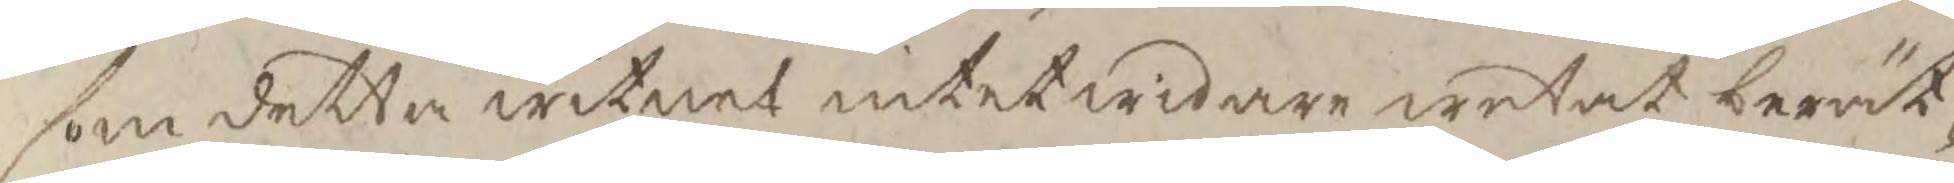som detta witnet intet widare wetat berät¬
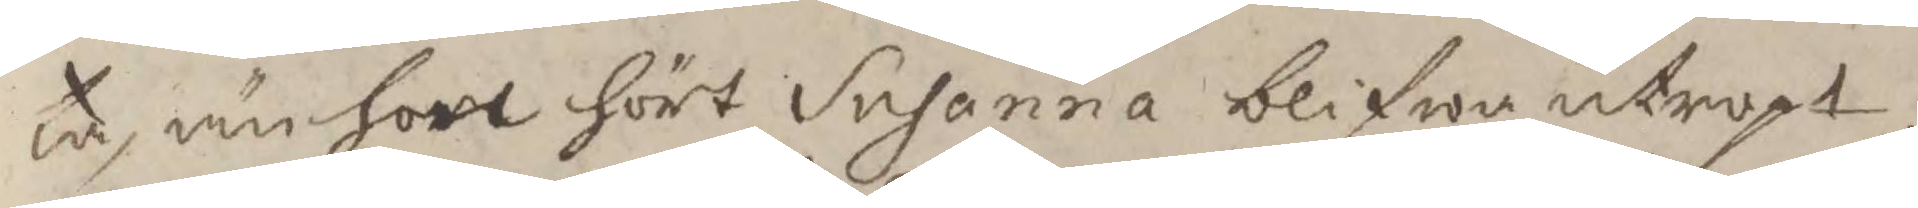ta, än hon hört Susanna blifwa utropt,
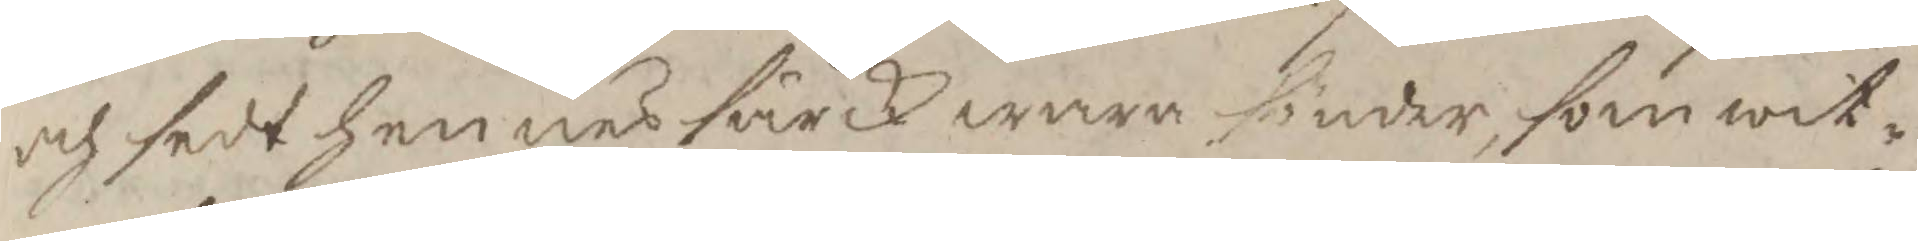och sedt hennes särck wara sönder, som wit¬
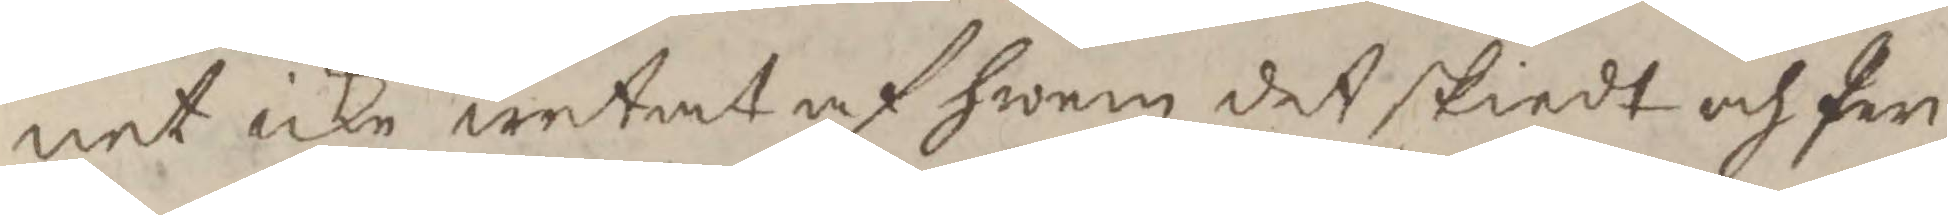net icke wetat af hwem det skiedt och Per
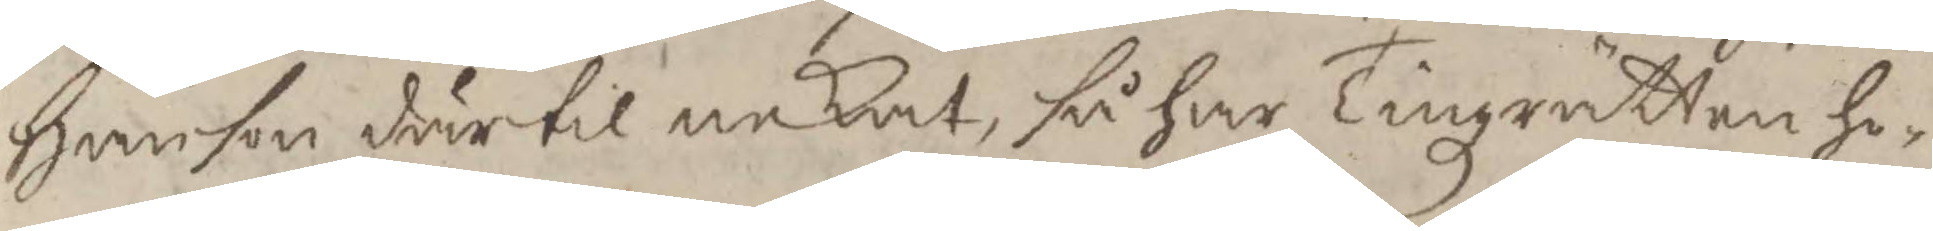Hanson därtil nekat, så har Tingzrätten ho¬
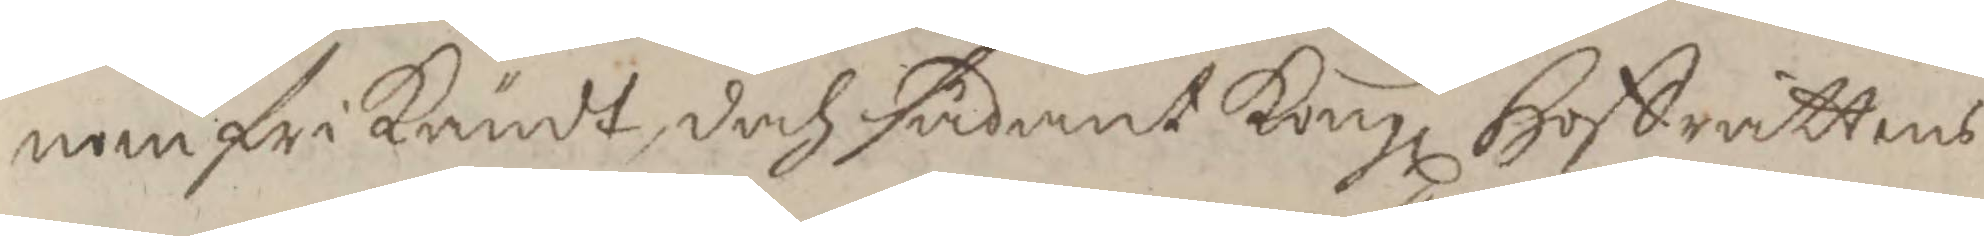nom frikändt, doch sådant Kongl Hoffrättens
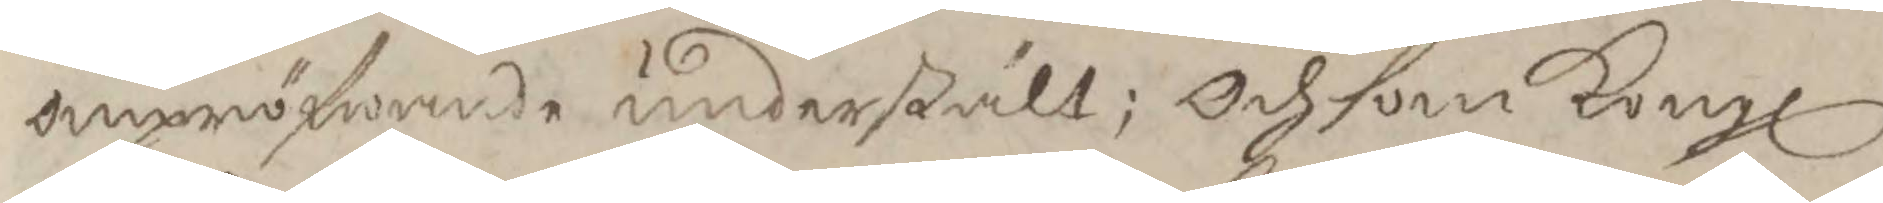ompröfwande understält; Och som Kongl
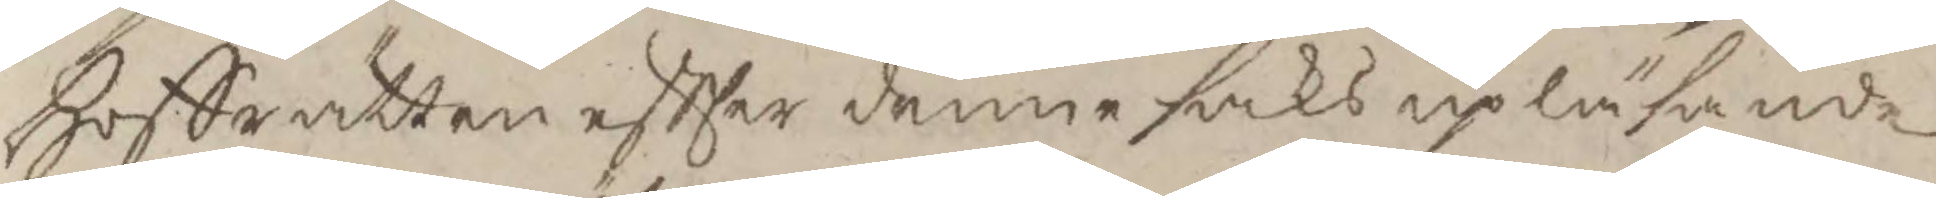Hoffrätten eftter denne saks upläsande
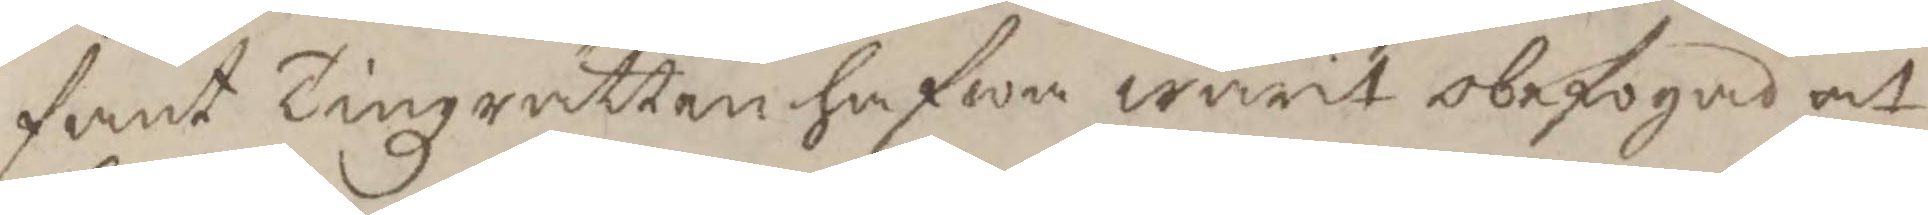fant Tingzrätten hafwa warit obefogad at
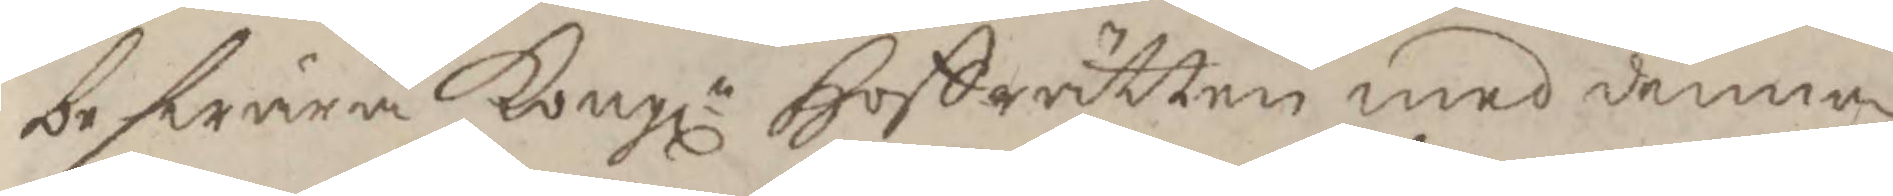beswära Kongl Hoffrätten med denna
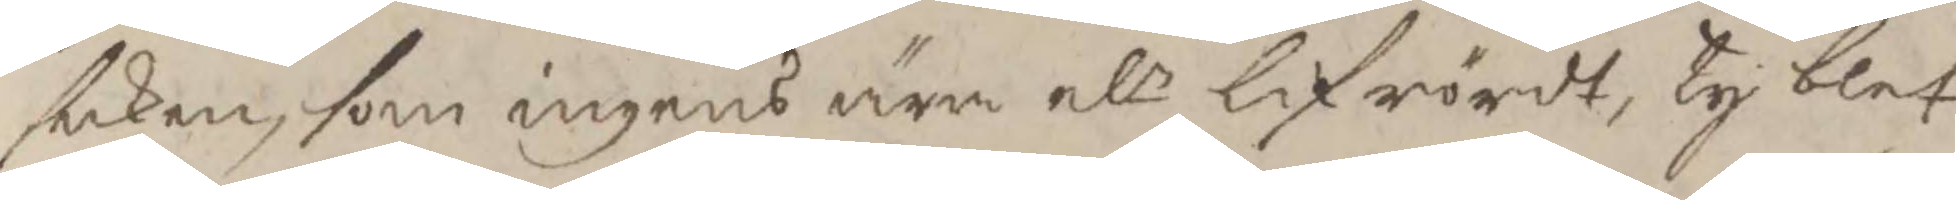saken, som ingens ära elr lif rördt, Ty blef
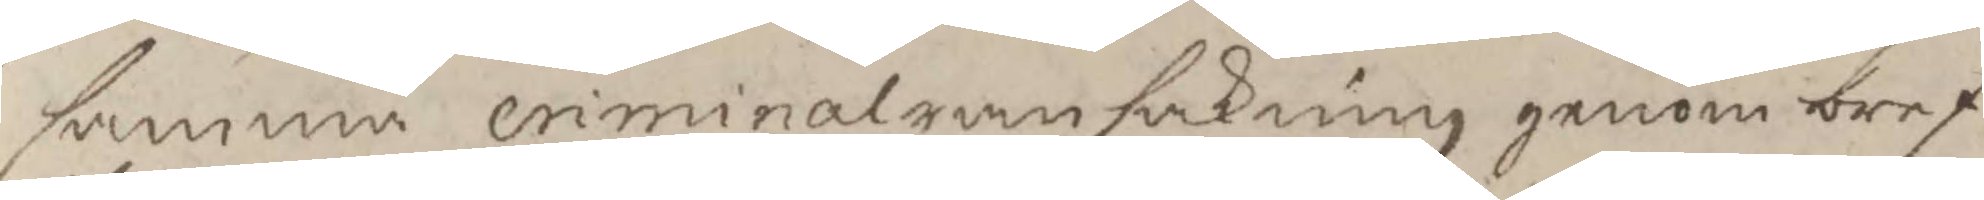samma criminalransakning genom bref
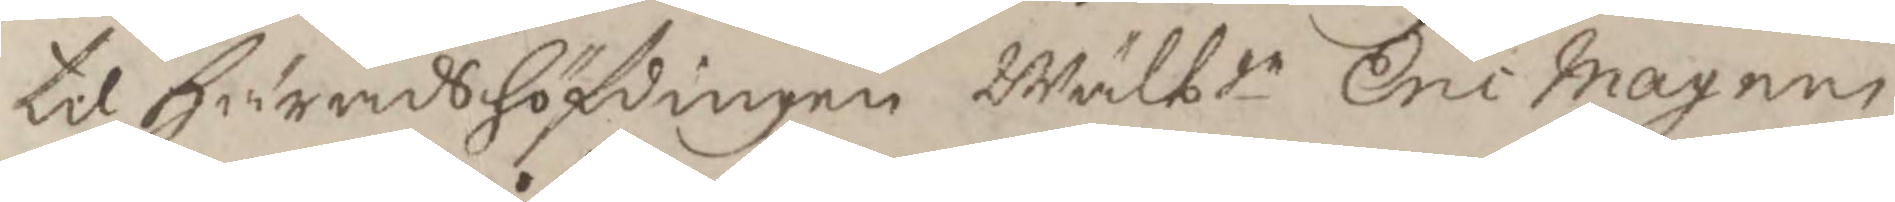til Häradshöfdingen Wälbde Eric Magnus
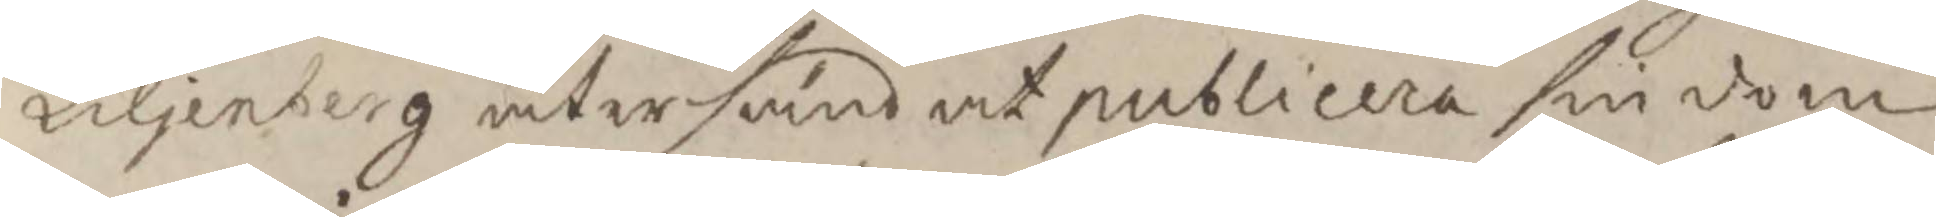Liljenberg återsänd at publicera sin dom
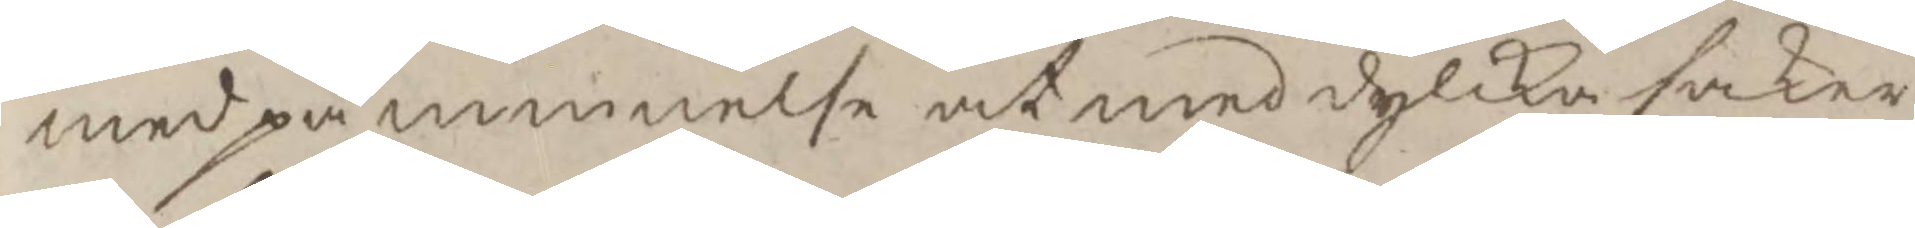med påminnelse at med sylika saker
